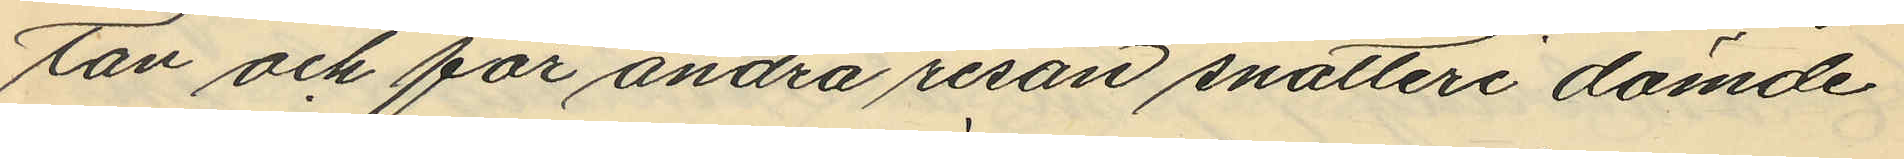tan och för andra resan snatteri dömde
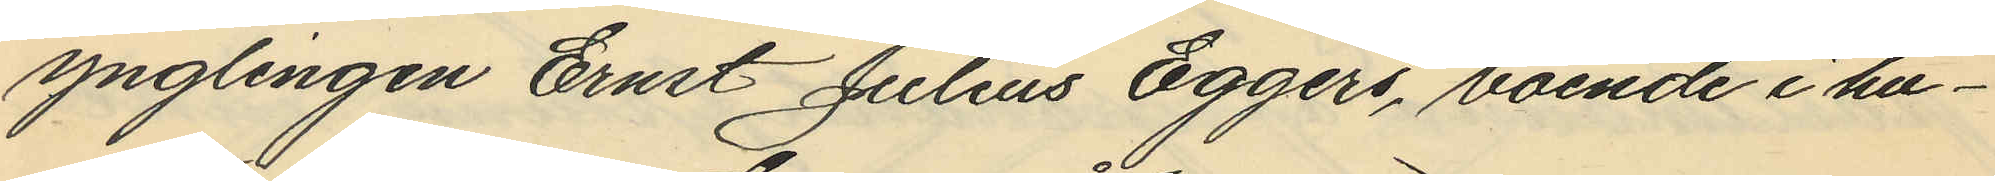ynglingen Ernst Julius Eggers, boende i hu¬
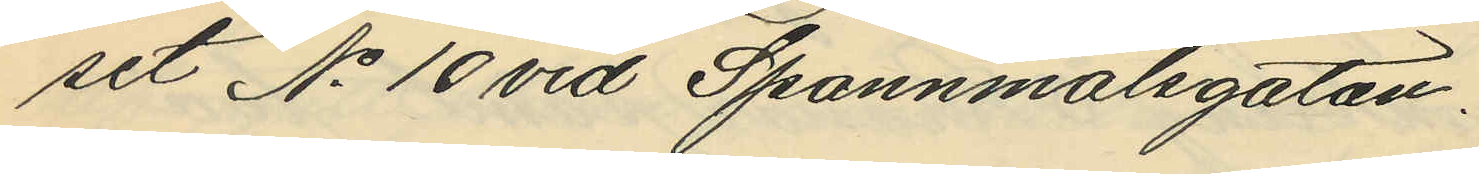set No 10 vid Spannmålsgatan.
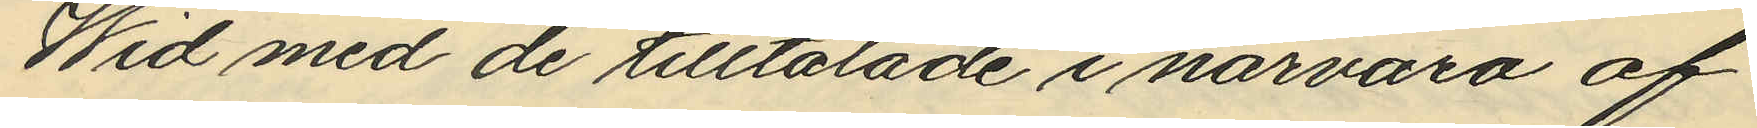Wid med de tilltalade i närvaro af
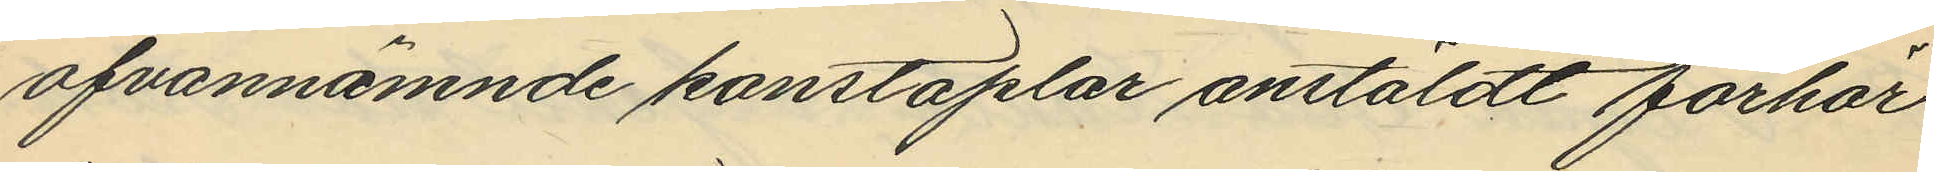ofvannämnde konstaplar anstäldt förhör
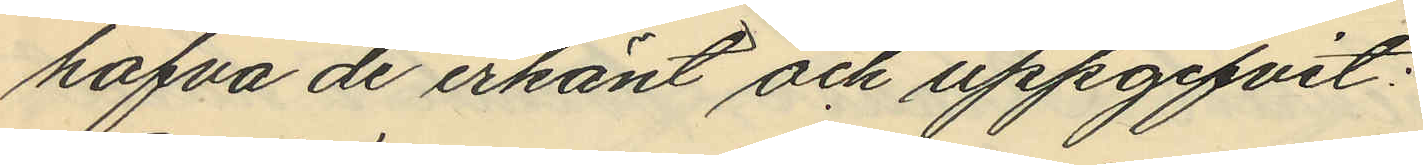hafva de erkänt och uppgifvit:
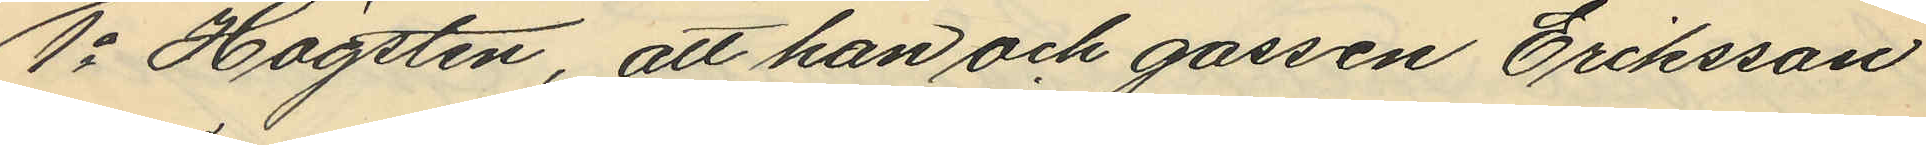1o Högsten, att han och gossen Eriksson
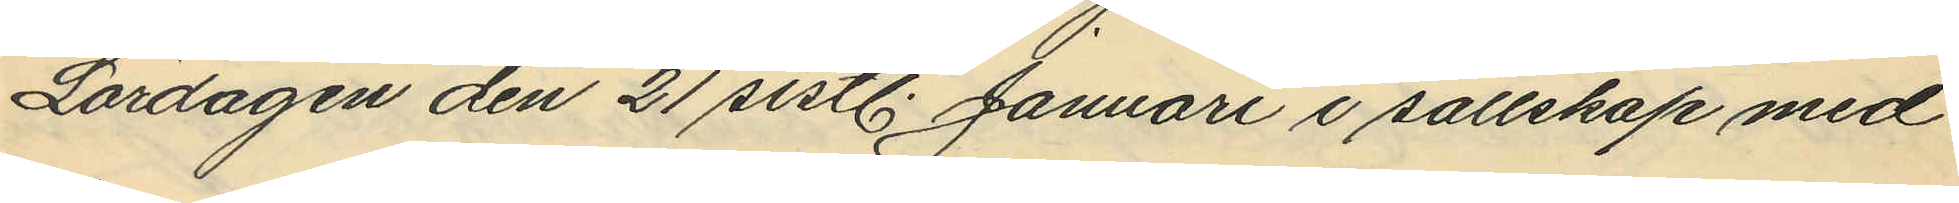Lördagen den 21 sistl. Januari i sällskap med
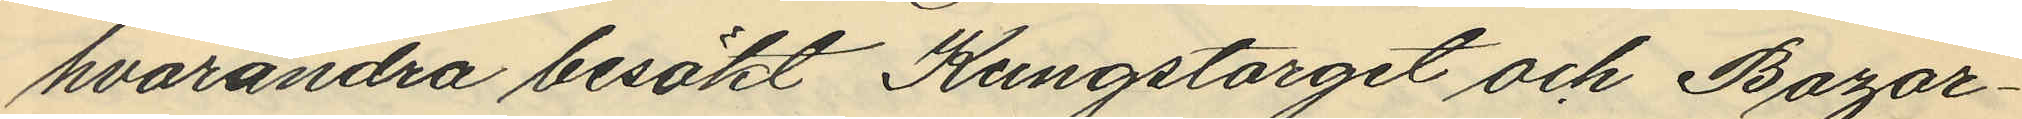hvarandra besökt Kungstorget och Bazar¬
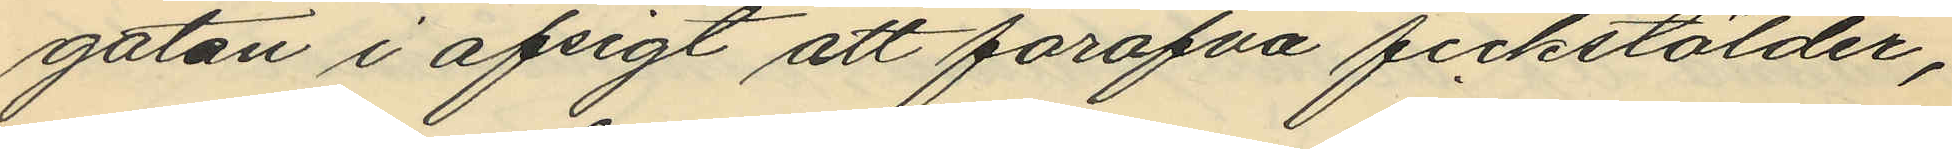gatan i afsigt att föröfva fickstölder,
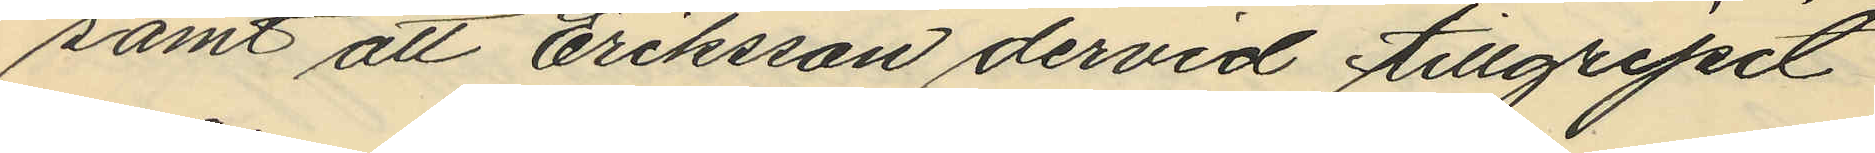samt att Eriksson dervid tillgripit
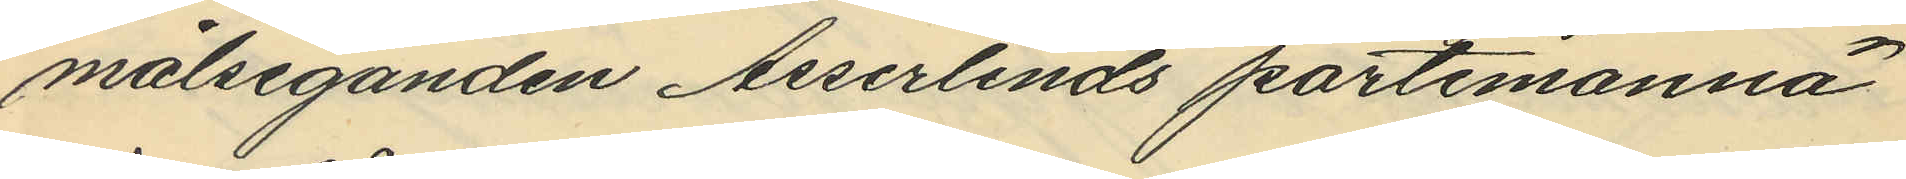målseganden Asserlinds portemonnä
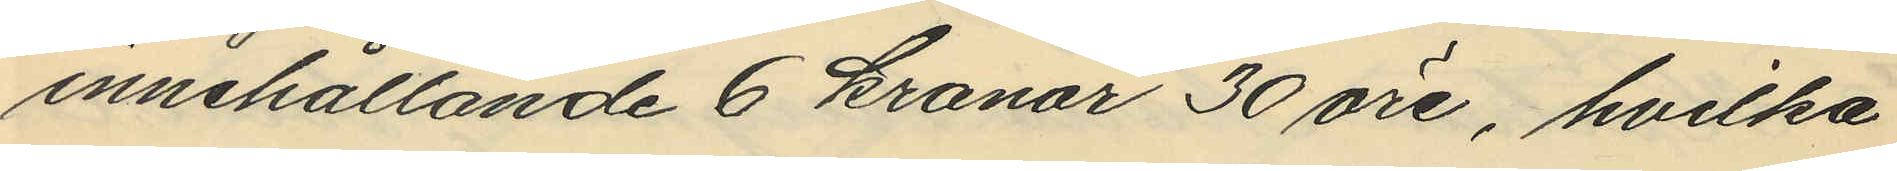innehållande 6 kronor 30 öre, hvilka
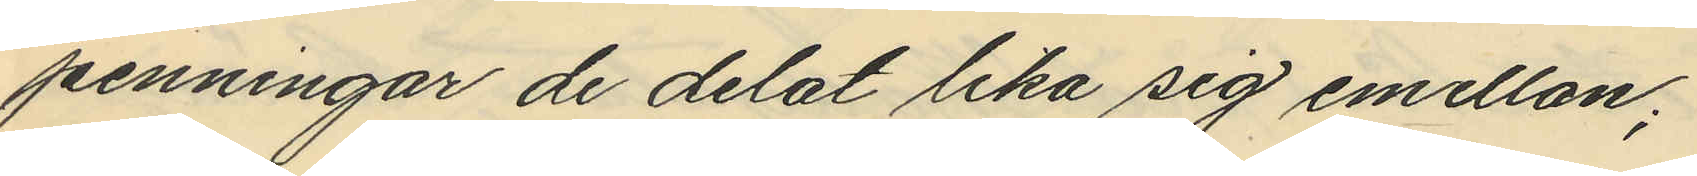penningar de delat lika sig emellan;
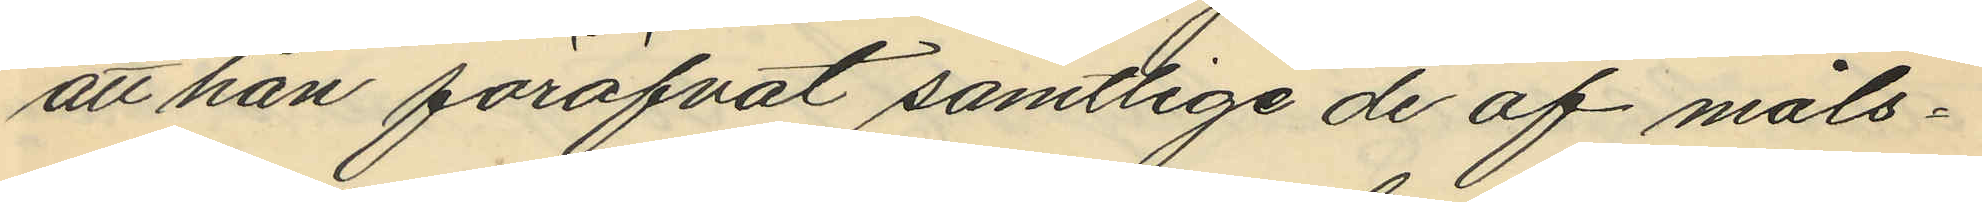att han föröfvat samtlige de af måls¬
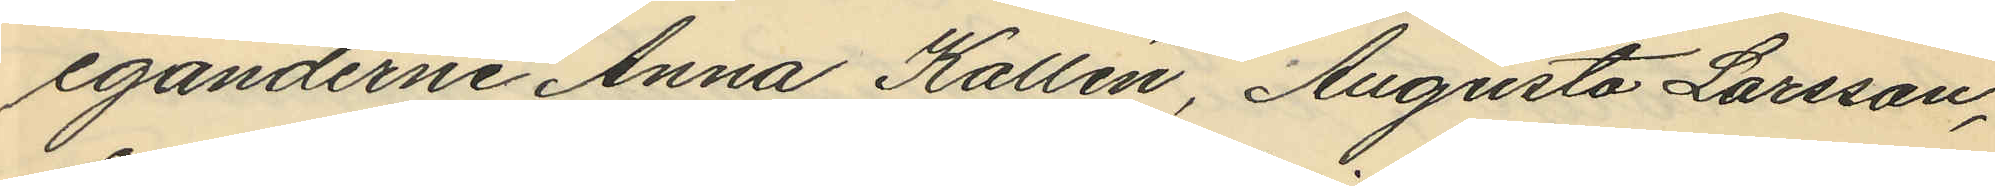eganderne Anna Kallén, Augusta Larsson,
